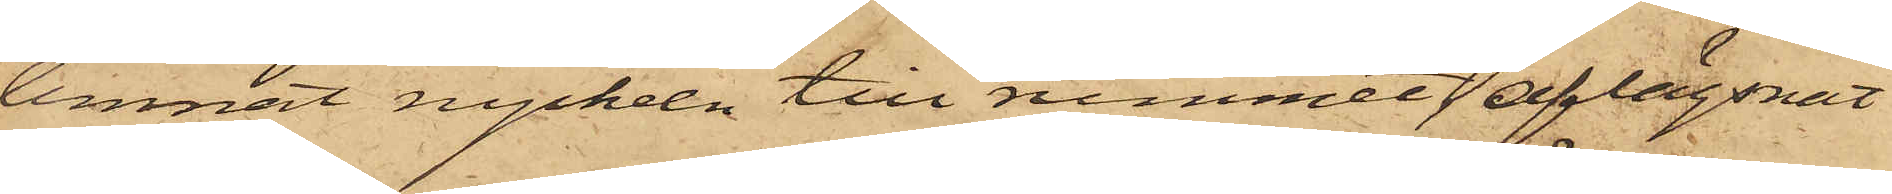lemnat nyckeln till rummet, aflägsnat
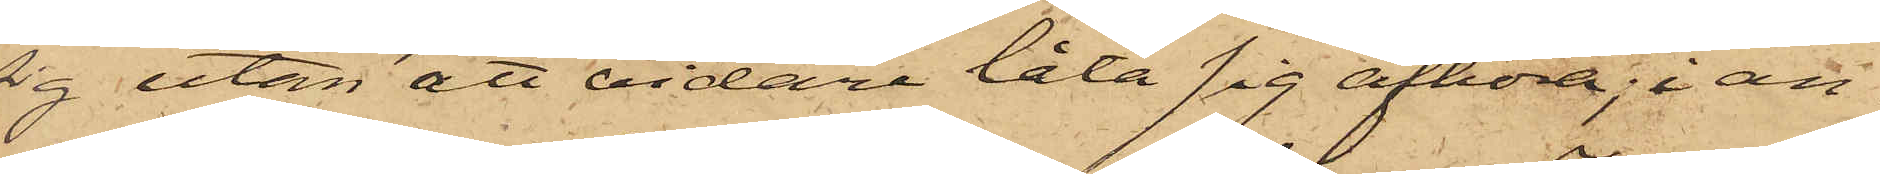sig utan att vidare låta sig afhöra; i an¬
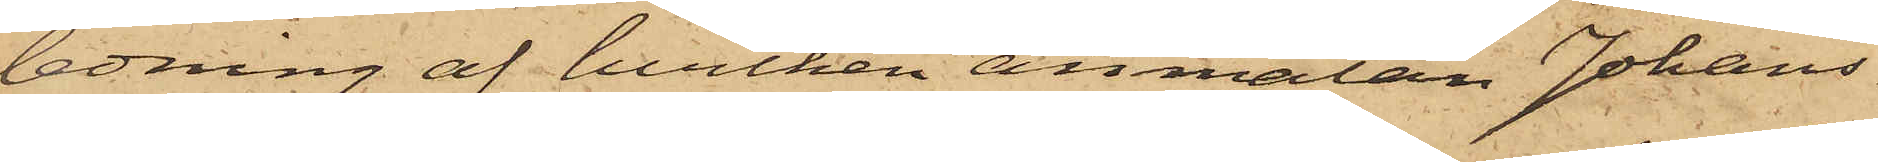ledning af hvilken anmälan Johans¬
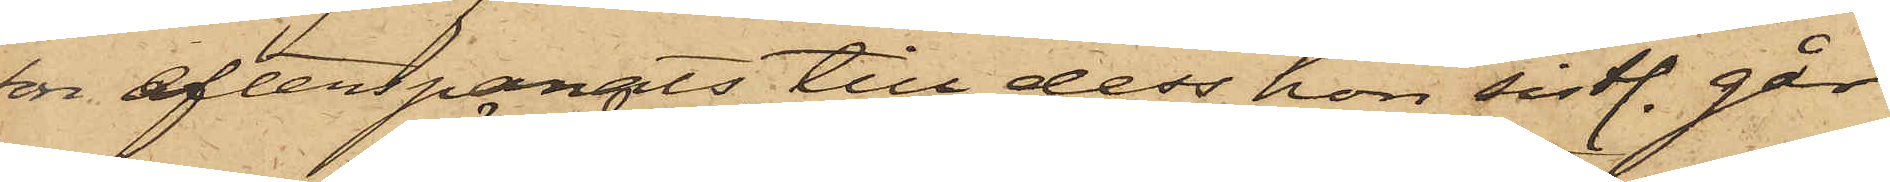en efterspanats, till dess hon sistl. går¬
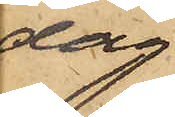dag
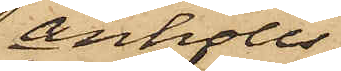anhölls
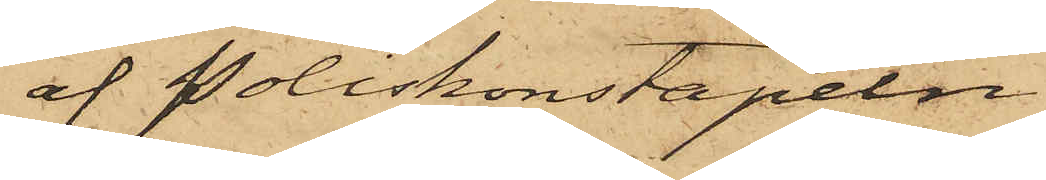af Poliskonstapeln
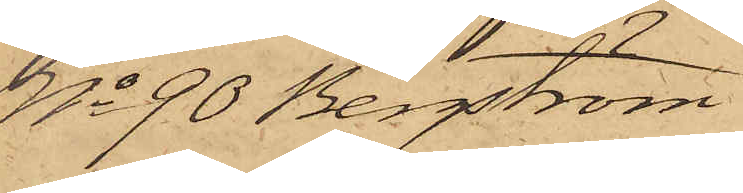No 90 Bergström.
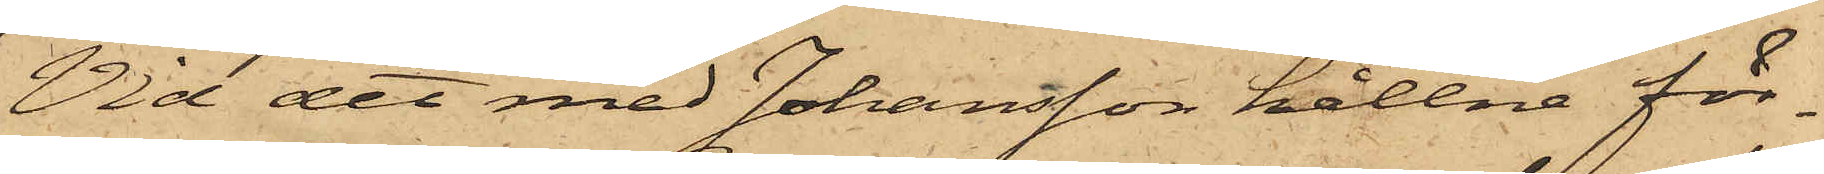Vid det med Johansson hållne för¬
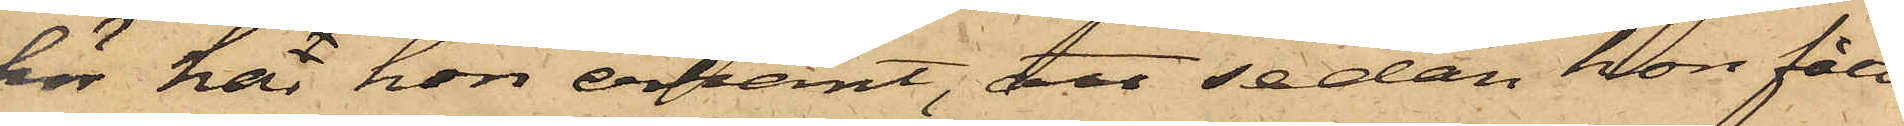hör här hon erkänt, att sedan hon fått
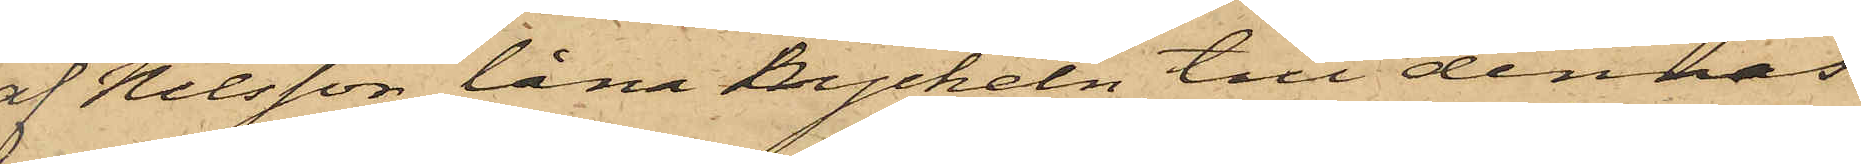af Nilsson låna nyckeln till dennas
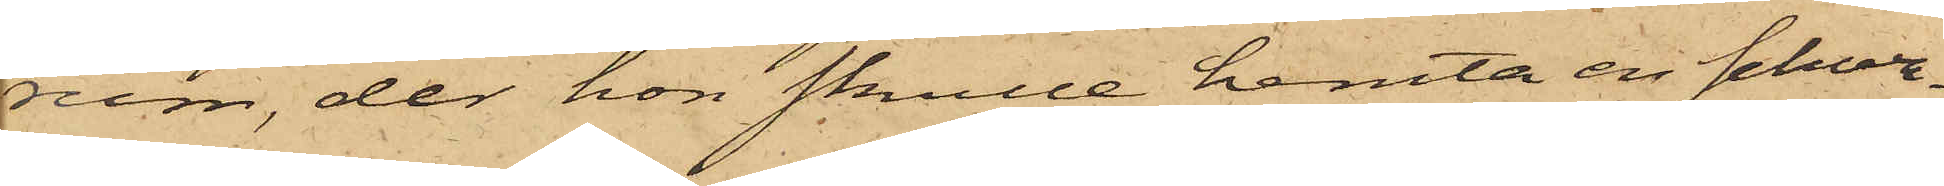rum, der hon skulle hemta en schwa¬
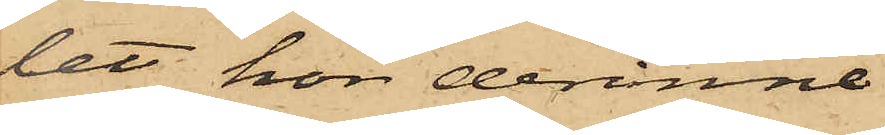let, hon derinne
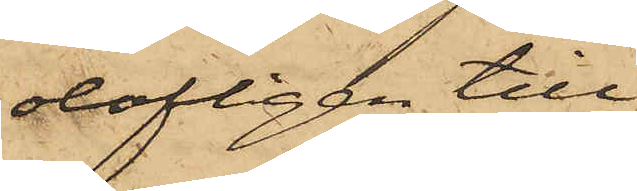olofligen till¬
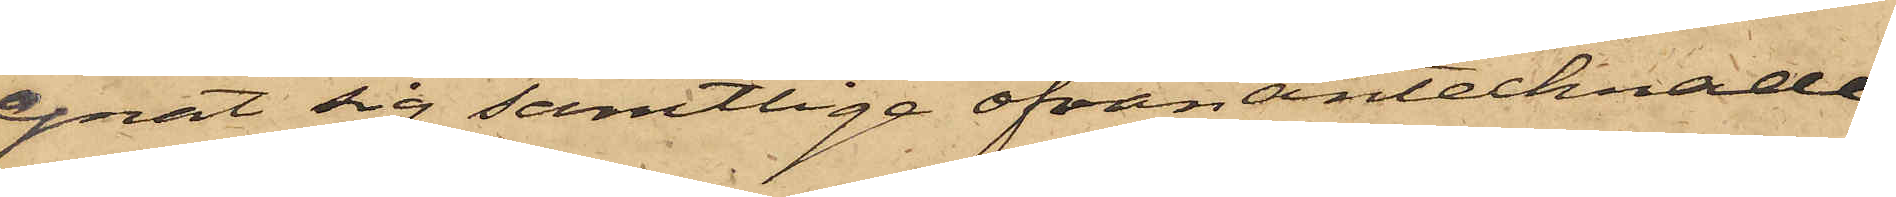egnat sig samtlige ofvan antecknade
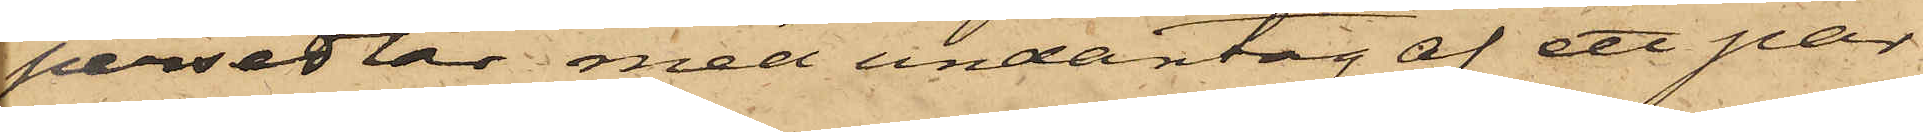persedlar, med undantag af ett par
